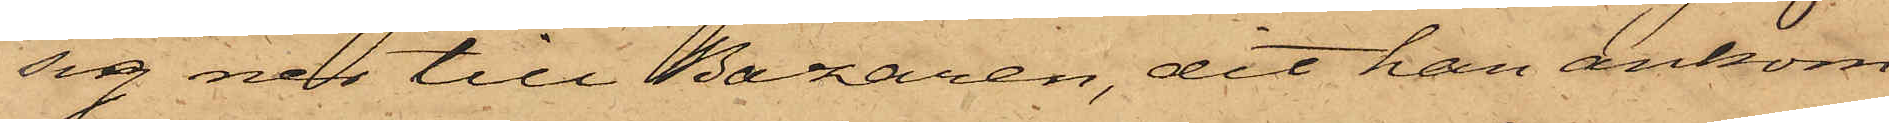sig ner till Bazaren, dit han ankom
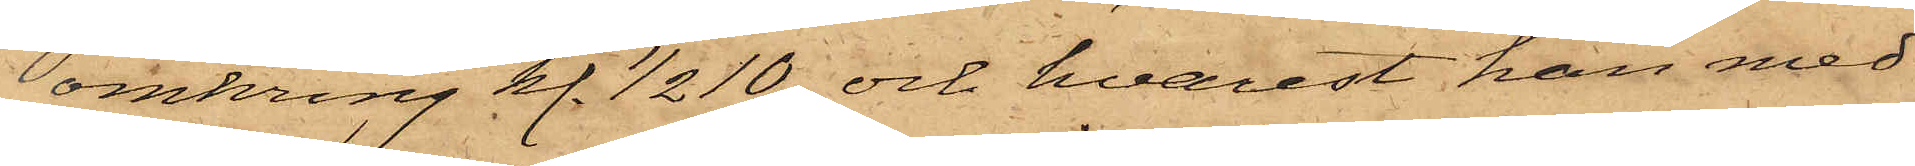omkring kl. 1/2 10 och hvarest han med
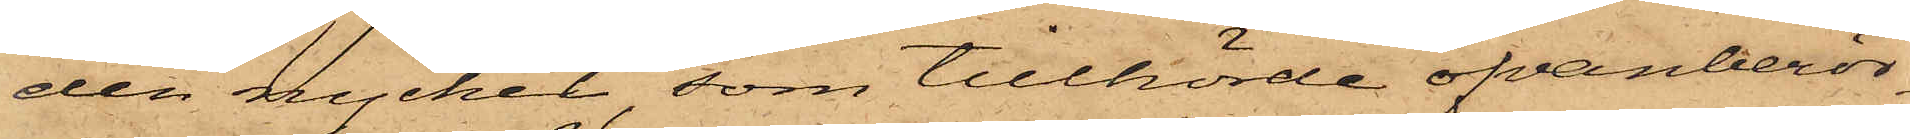den nyckel, som tillhörde ofvanberör¬
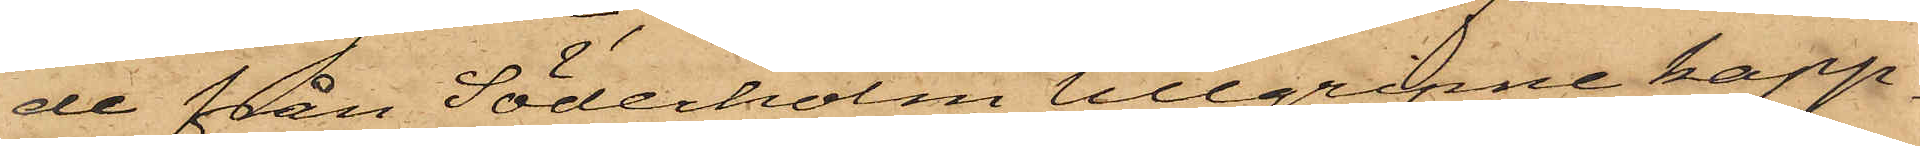de från Söderholm tillgripne kapp¬
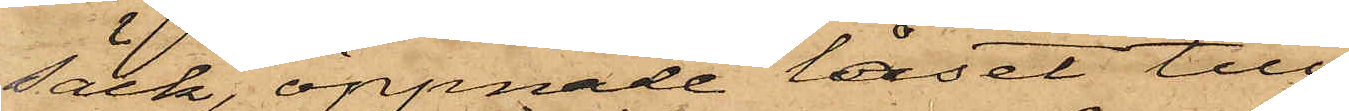säck, öppnade låset till
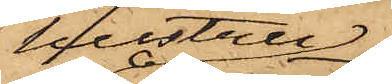hustru
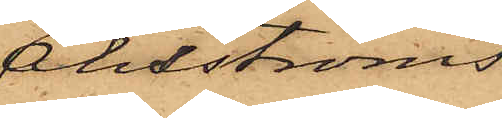Åhsströms
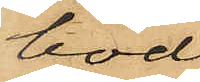bod;
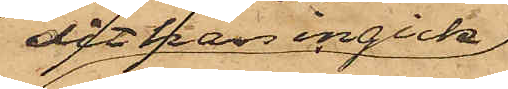dit han ingick
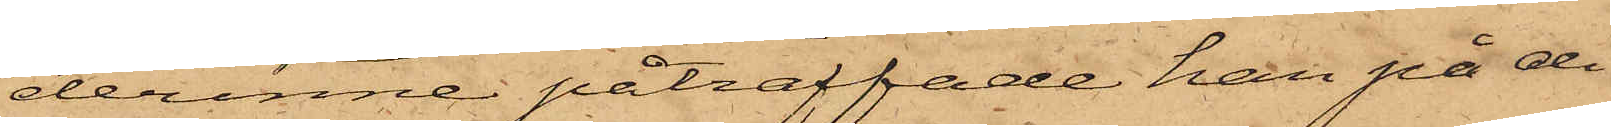derinne påträffade han på di¬
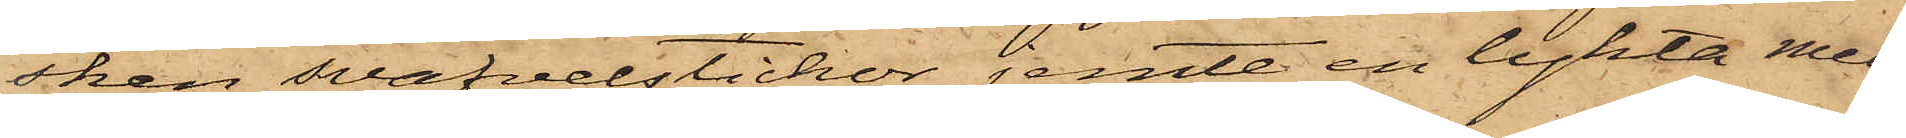sken svafvelstickor jemte en lykta med
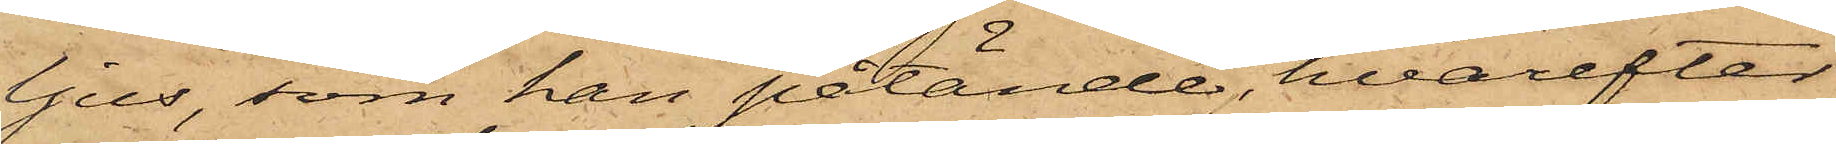ljus, som han påtände, hvarefter
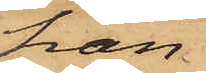han
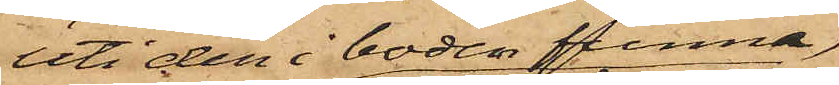uti den i boden funna
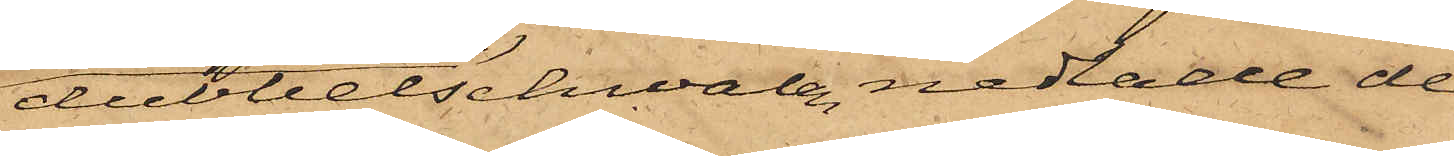dubbelschwalen nedlade de
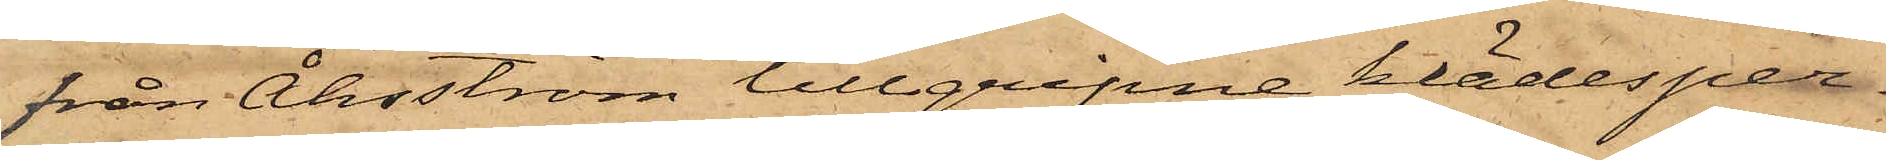från Åhsström tillgripne klädesper¬
